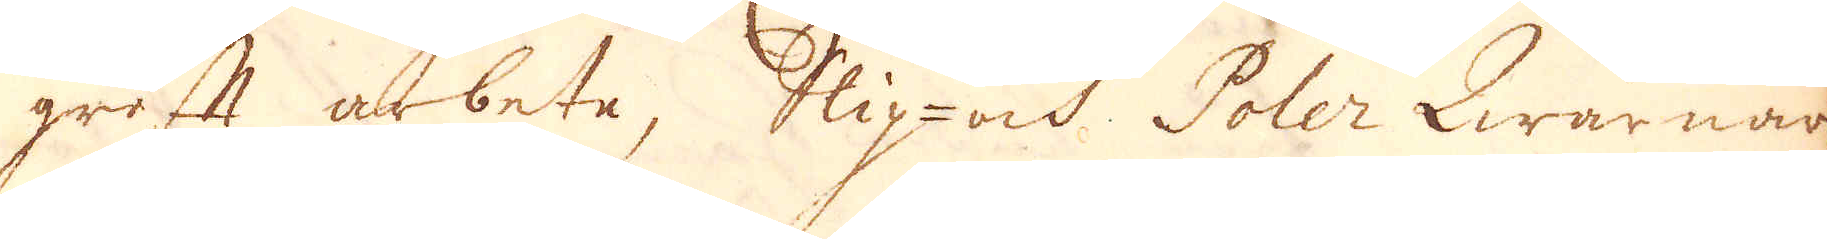groft arbete, Slip- och Poler Qwarnar,
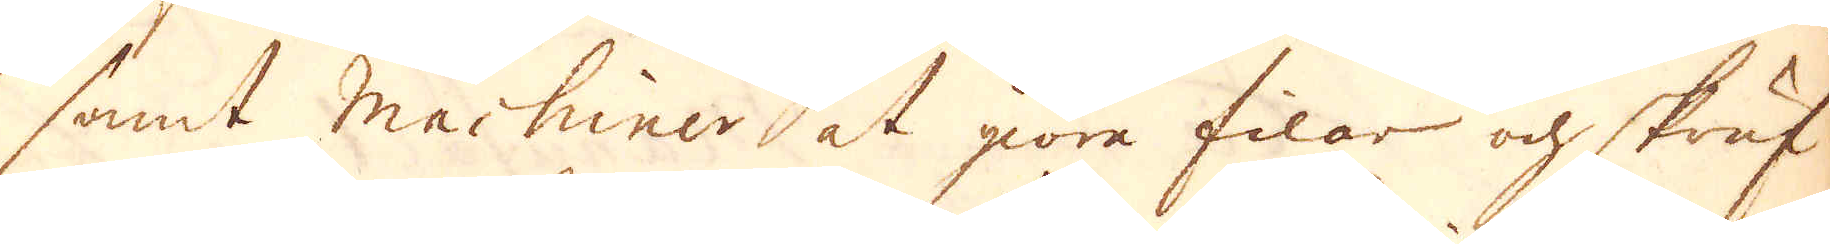samt machiner at giöra filar och skruf-
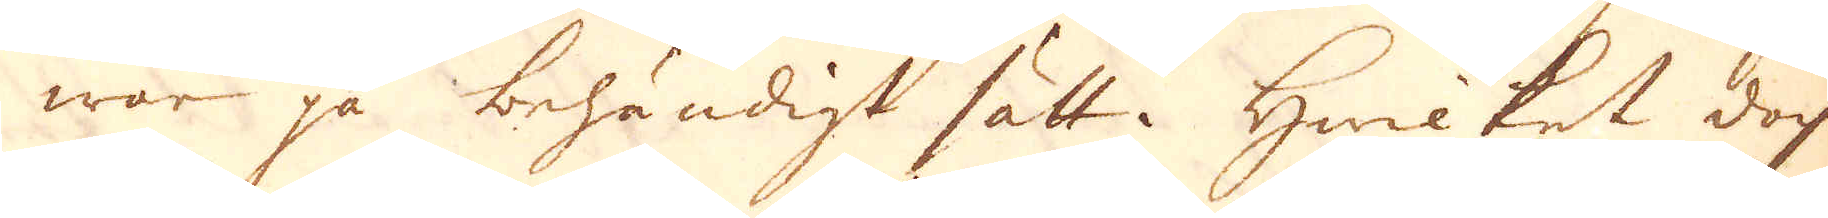wor på behändigt sätt. Hwilket doch
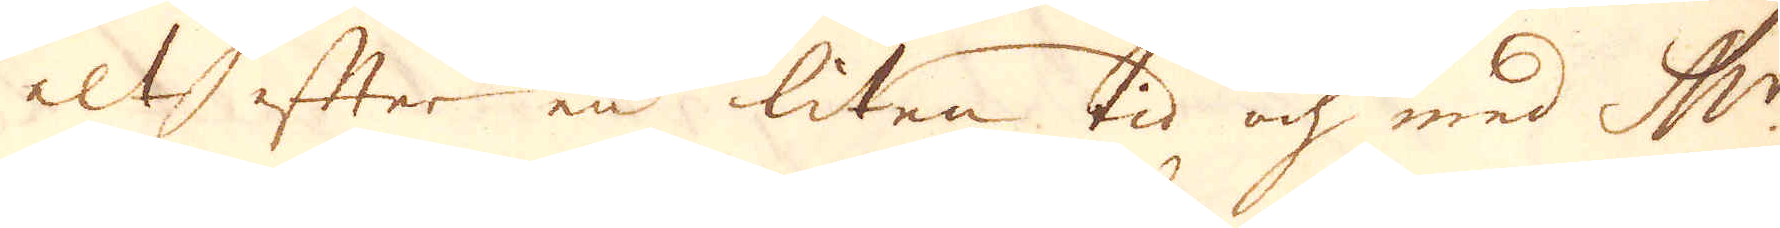alt efter en liten tid och med M:r
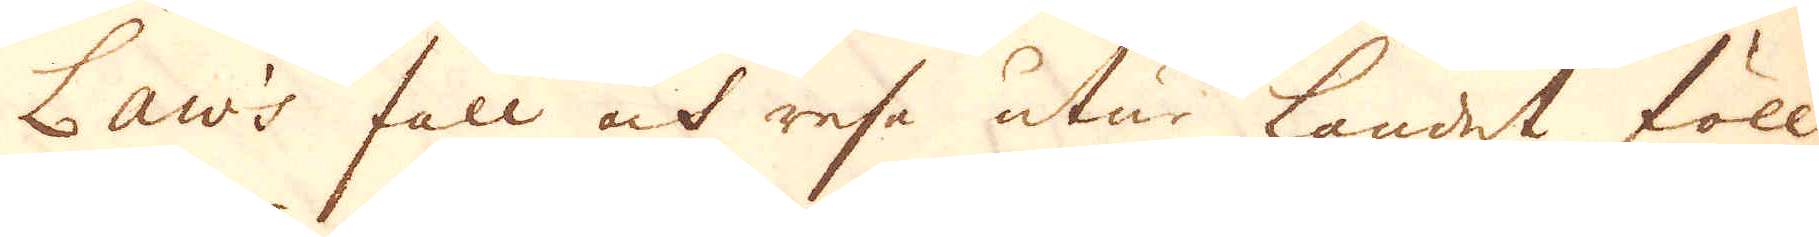Law's fall och resa utur landet föll
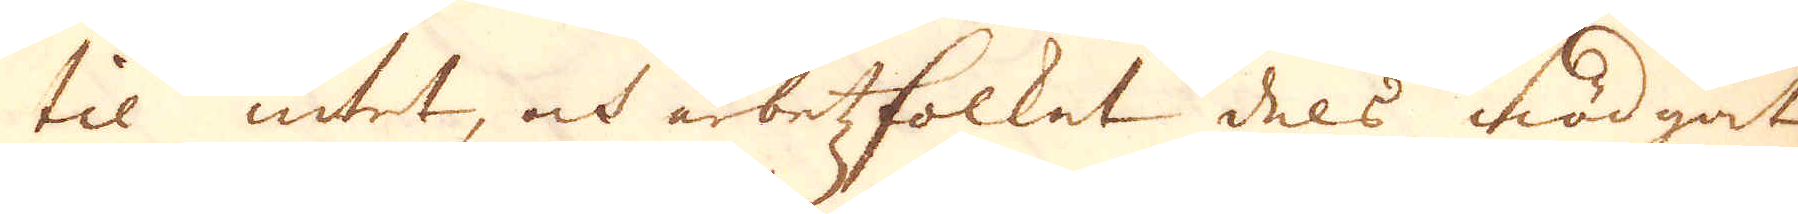til intet, och arbetzfolket dels nödgat
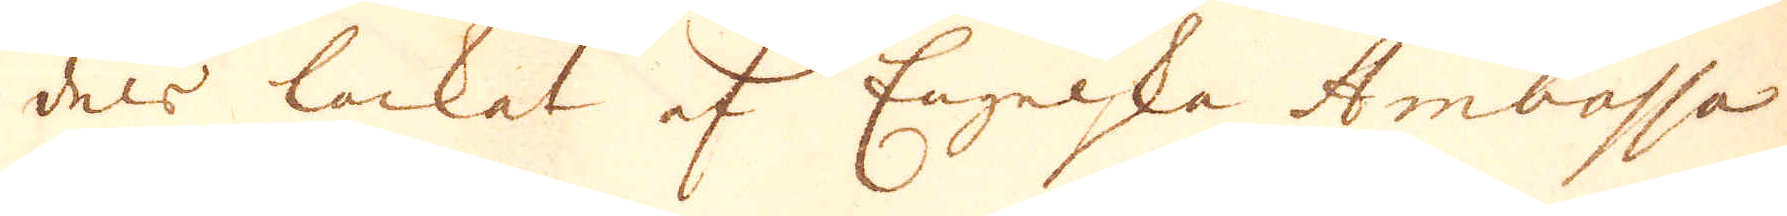dels lockat af Engelska Ambassa-
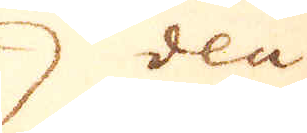deu
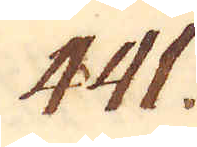441.
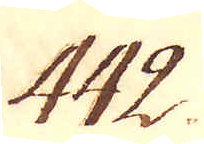442.
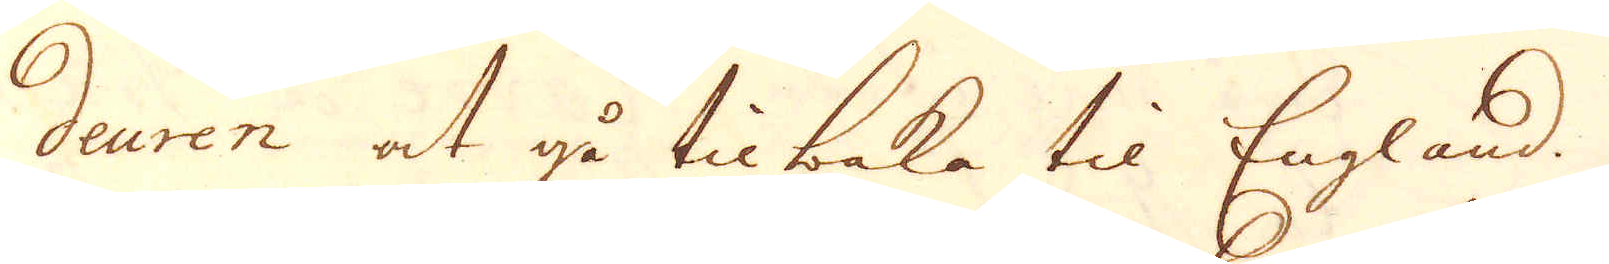deuren at gå tilbaka til England. I öf-
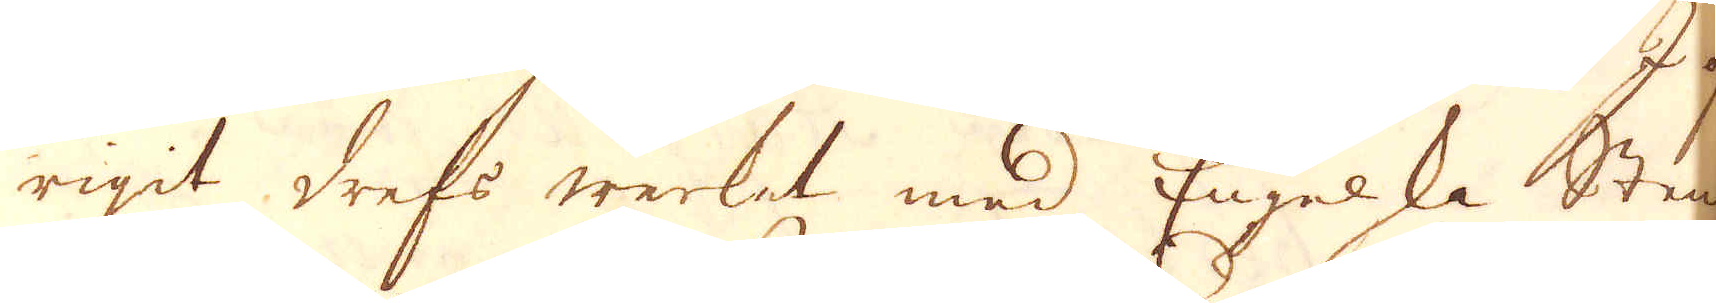rigit drefs werket med Engelska Sten-
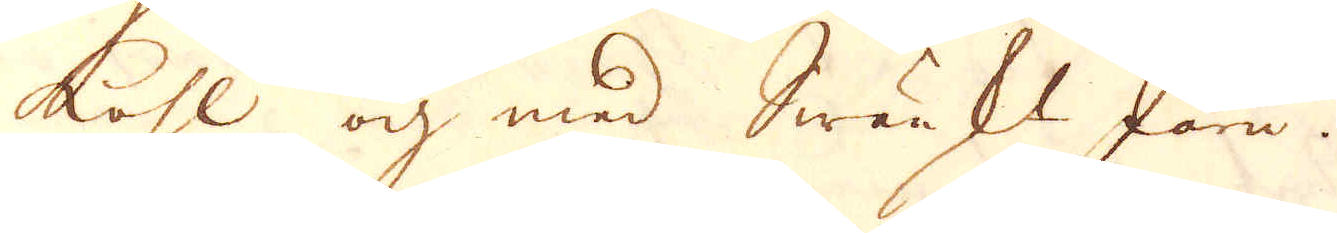kohl och med Swänskt Järn.
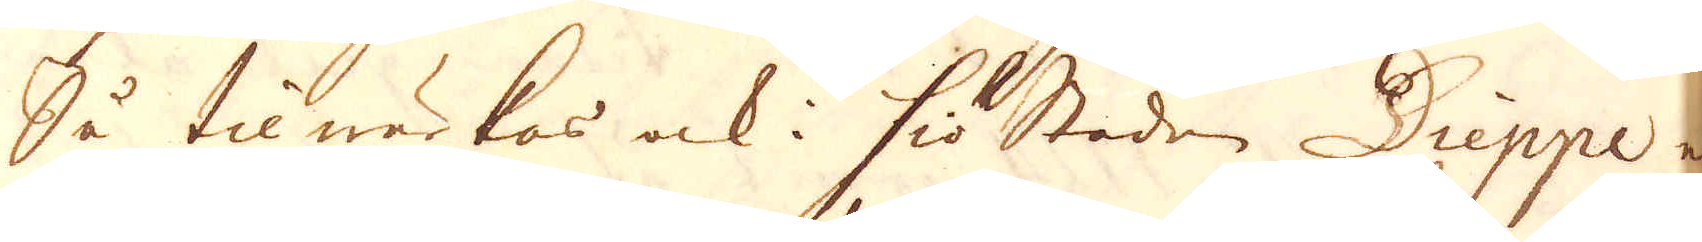Så tilwärkas ock i Siöstaden Dieppe en
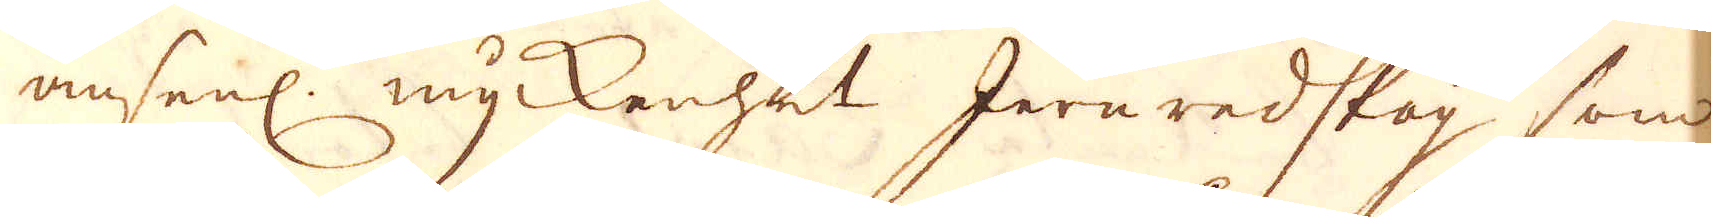ansenl: myckenhet Jernredskap som
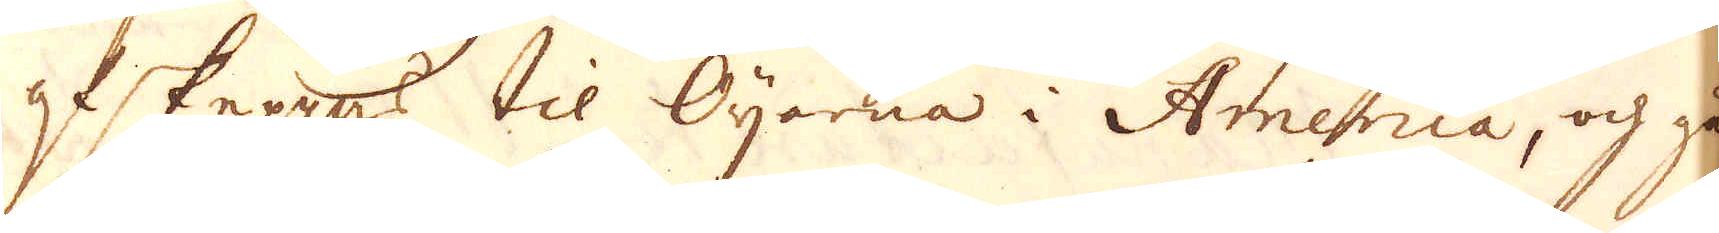afskeppas til Öijarna i America, och går
